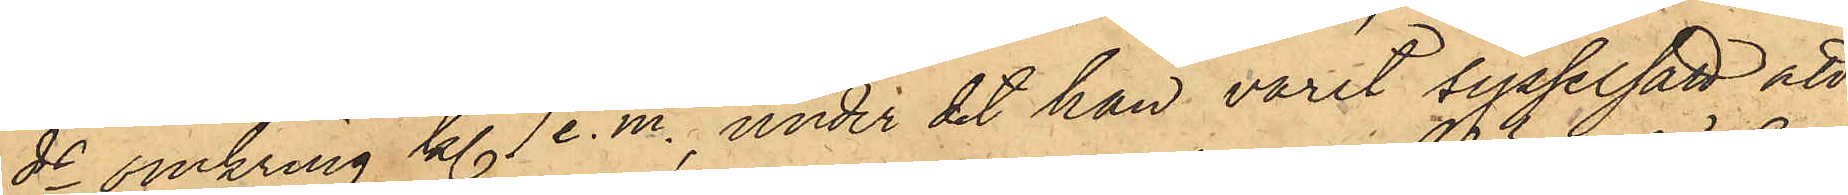ds omkring kl. 7 e. m. under det han varit sysselsatt att
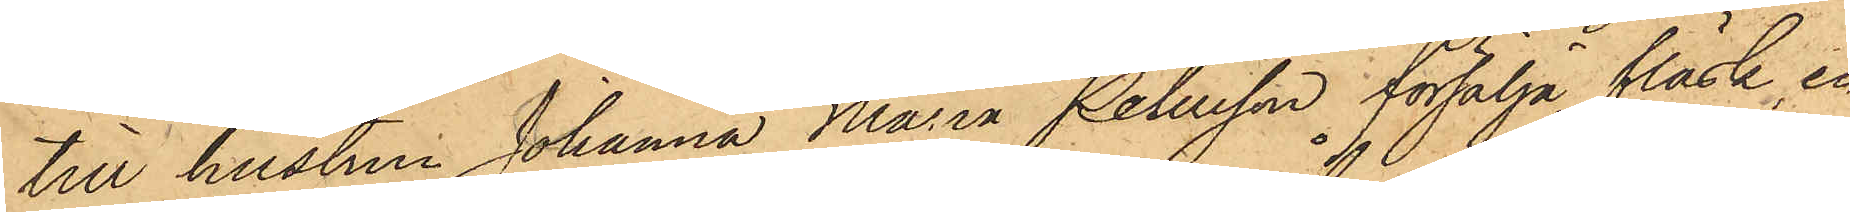till hustrun Johanna Maria Petersson försälja fläsk, en
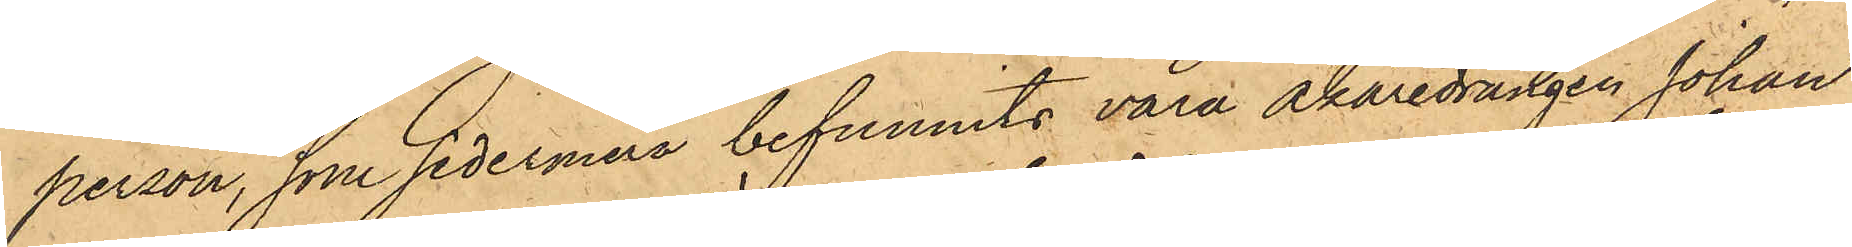person, som sedermera befunnits vara Åkaredrängen Johan
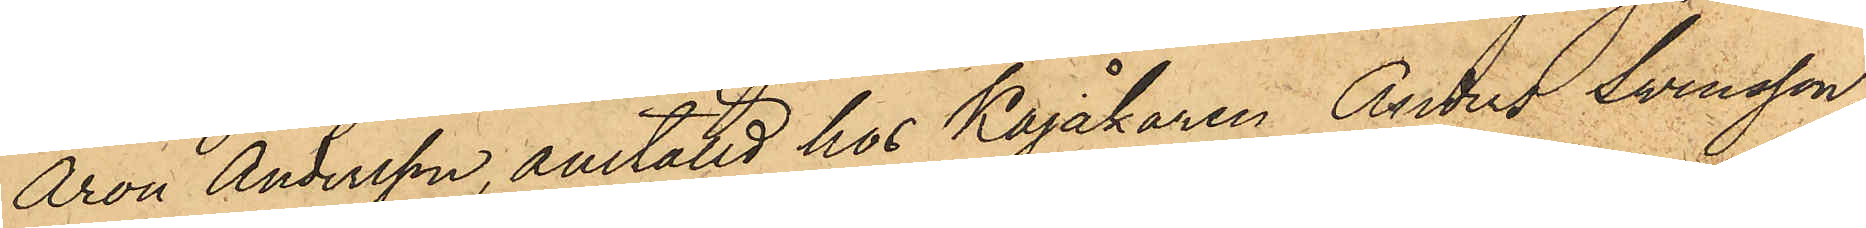Aron Andersson, anställd hos Kajåkaren Anders Svensson,
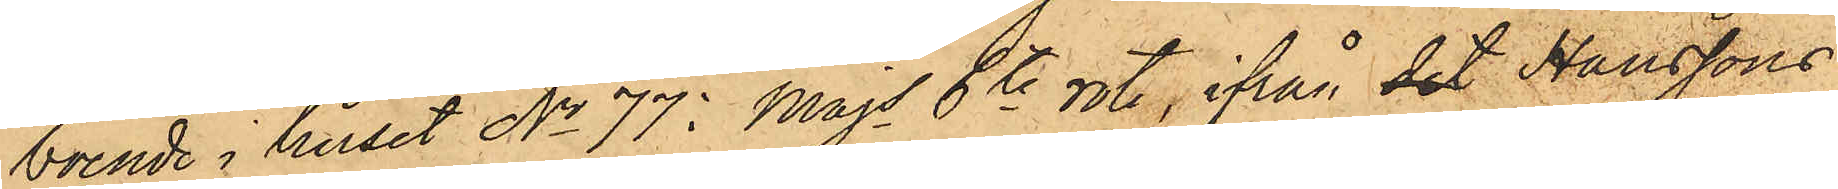boende i huset No 77 i Majs 6te rote, ifrån det Hanssons
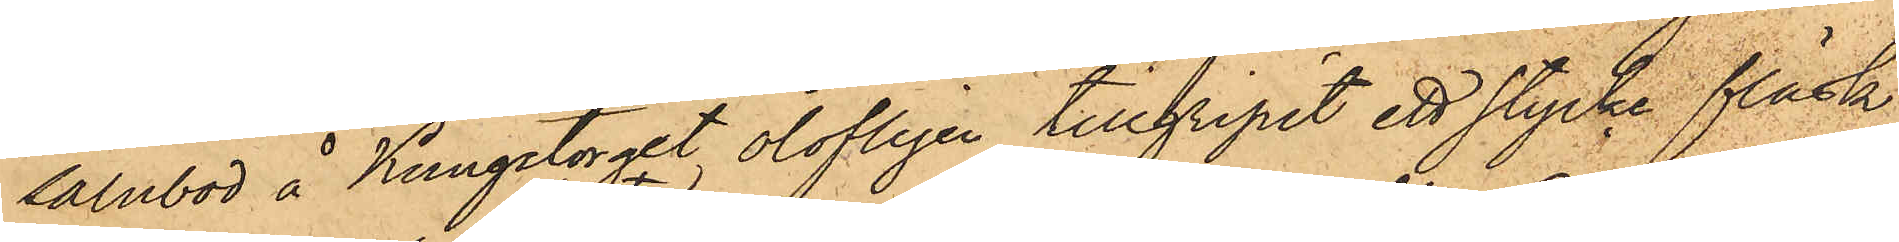Salubod å Kungstorget olofligen tillgripit ett stycke fläsk,
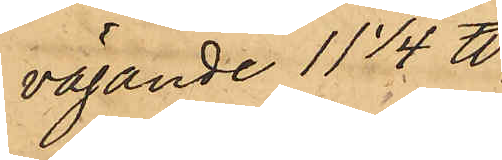vägande 11 1/4 ℔;
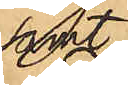samt
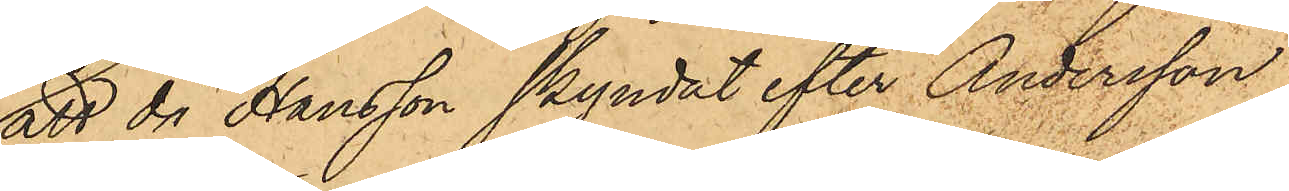att då Hansson skyndat efter Andersson
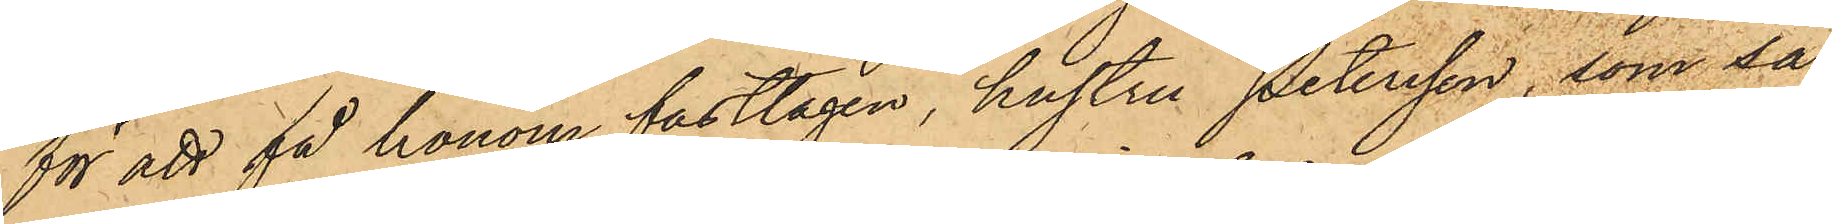för att få honom fasttagen, hustru Petersson, som så¬
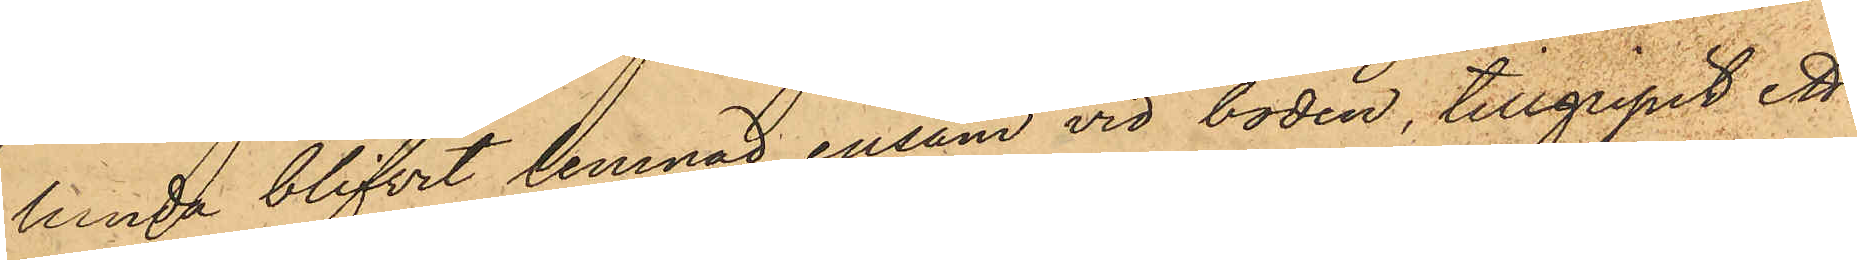lunda blifvit lemnad ensam vid boden, tillgripit ett
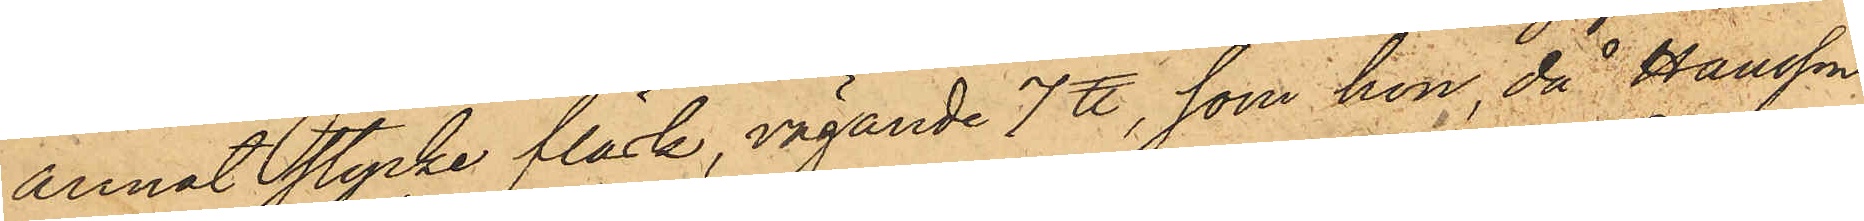annat stycke fläsk, vägande 7 ℔, som hon då Hansson,
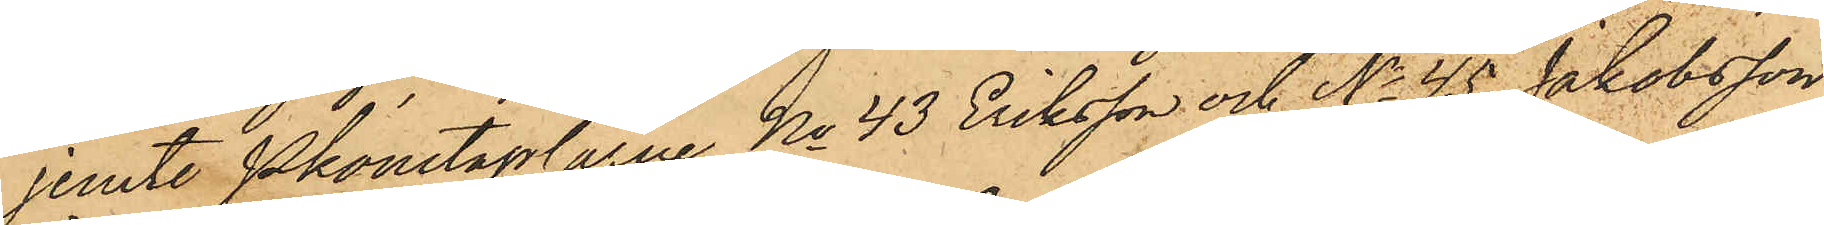jemte Pkonstaplarne No 43 Eriksson och No 45 Jakobsson
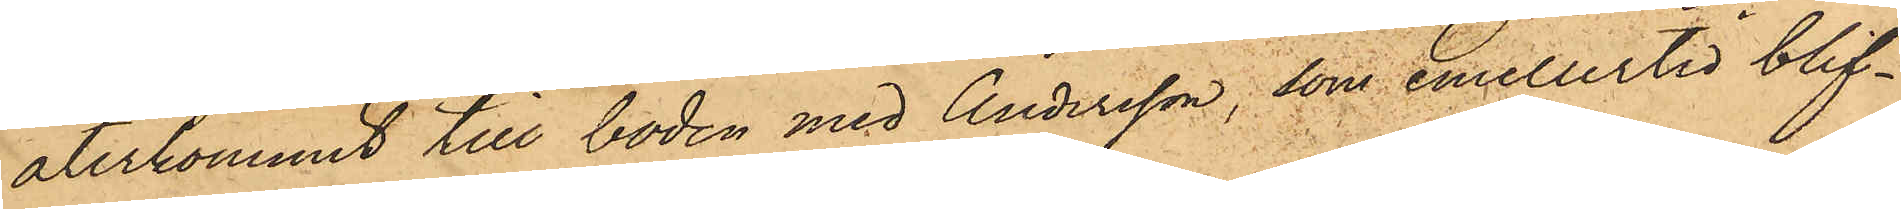återkommit till boden med Andersson, som emellertid blif¬
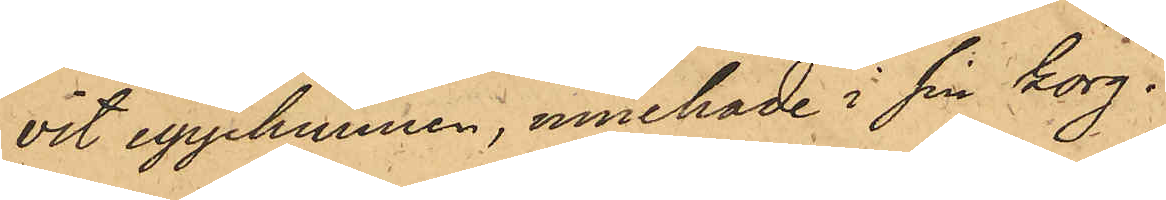vit upphunnen, innehade i sin korg.
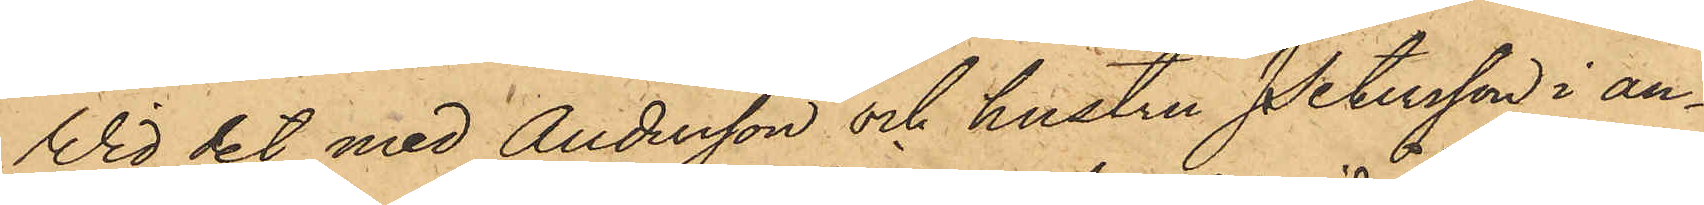Vid det med Andersson och hustru Petersson i an¬
